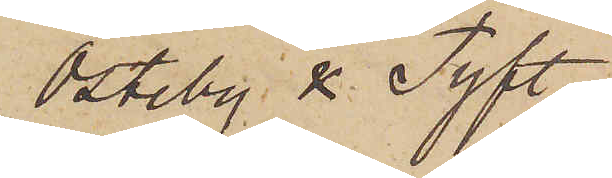Östeby & Tyft.
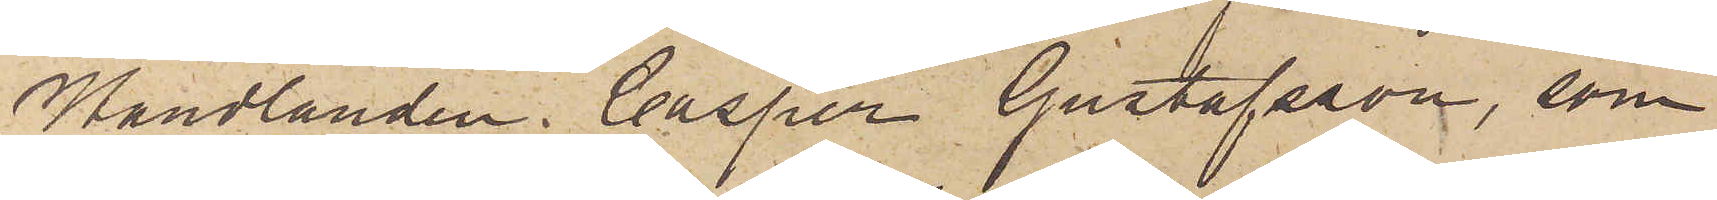Handlanden Casper Gustafsson, som
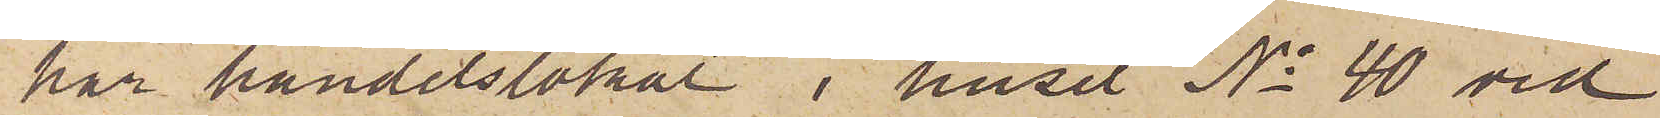har handelslokal i huset No 40 vid
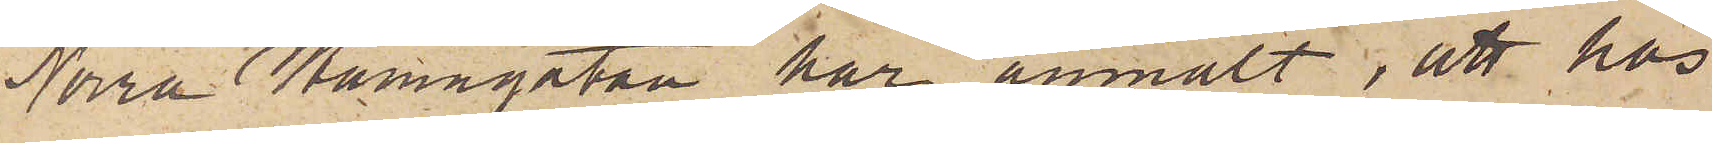Norra Hamngatan har anmält, att hos
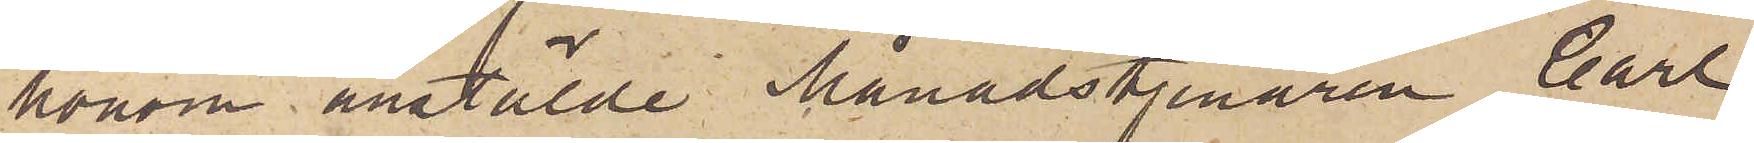honom anstälde Månadstjenaren Carl
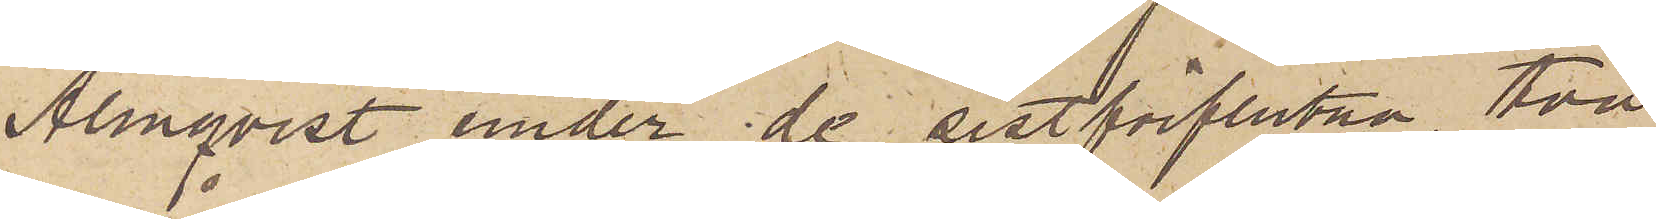Almqvist under de sistförflutna två
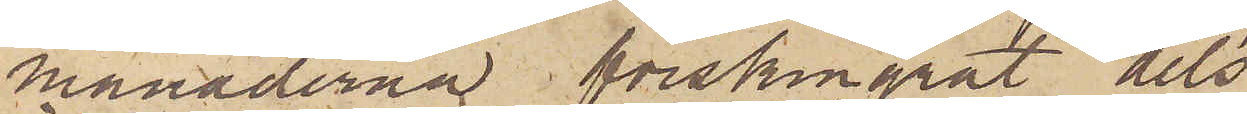månaderna förskingrat dels
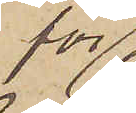för
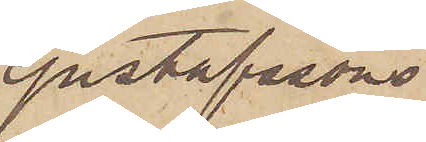Gustafssons
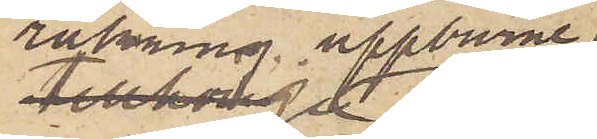räkning uppburne
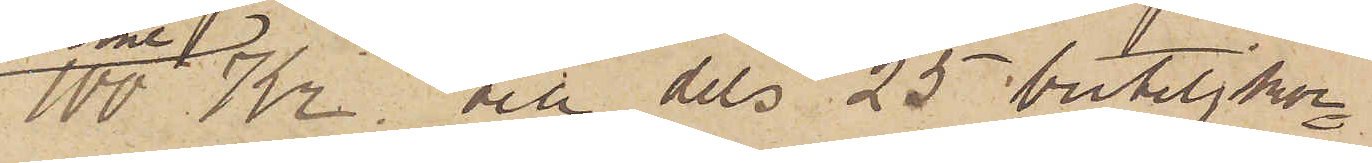100 Kr, och dels 25 buteljkor¬
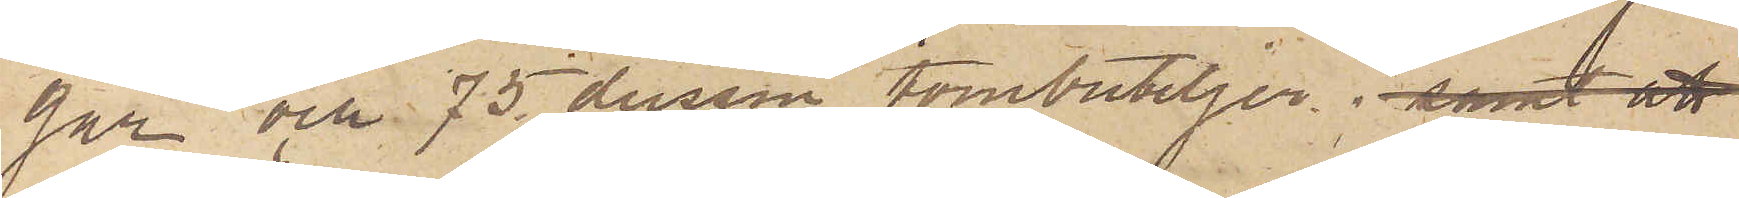gar och 75 dussin tombuteljer; samt att
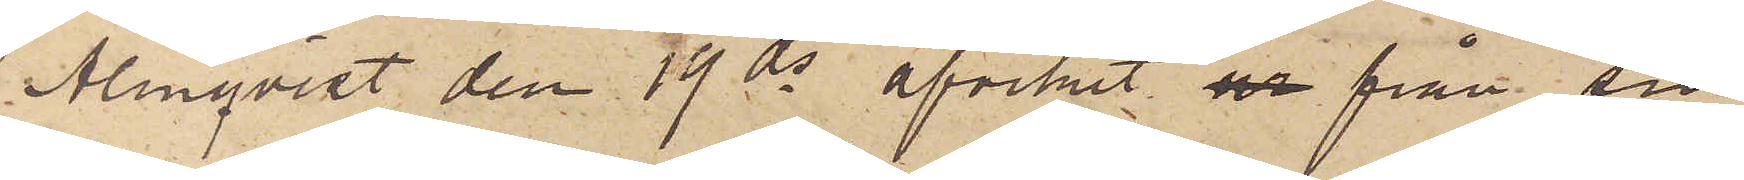Almqvist den 19 ds afvikit ur från sin
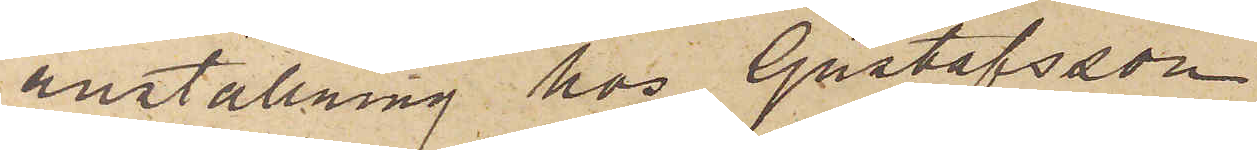anställning hos Gustafsson.
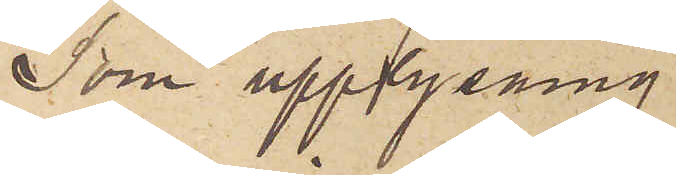Som upplysning
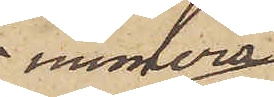numera
